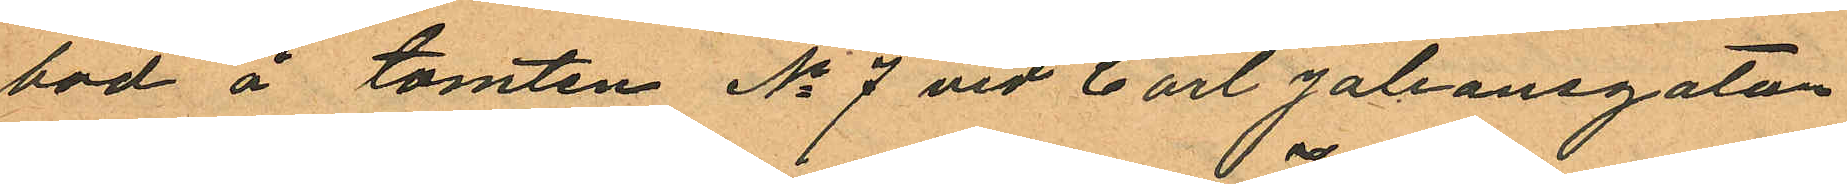bod å tomten No 7 vid Carl Johansgatan
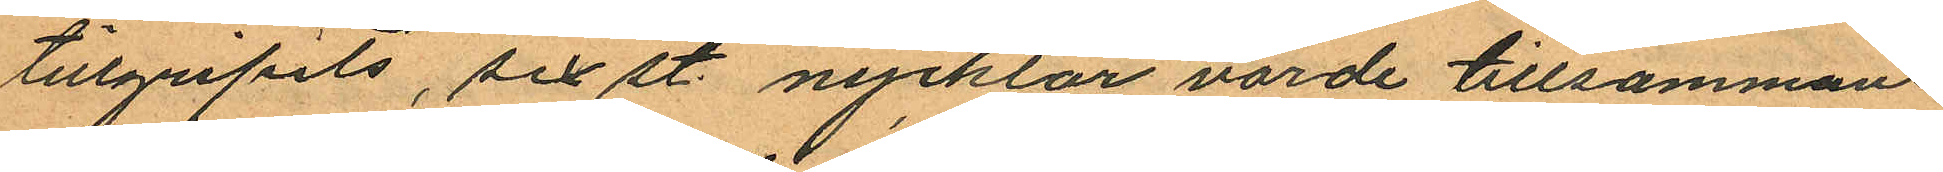tillgripits, sex st. nycklar värde tillsammans
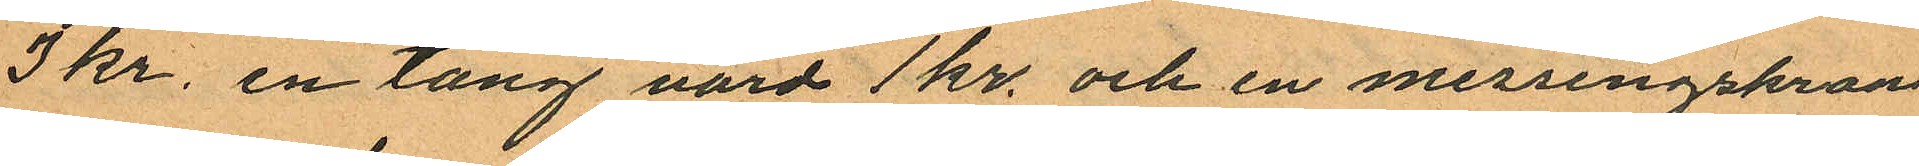3 kr. en tång värd 1 kr. och en messingskran
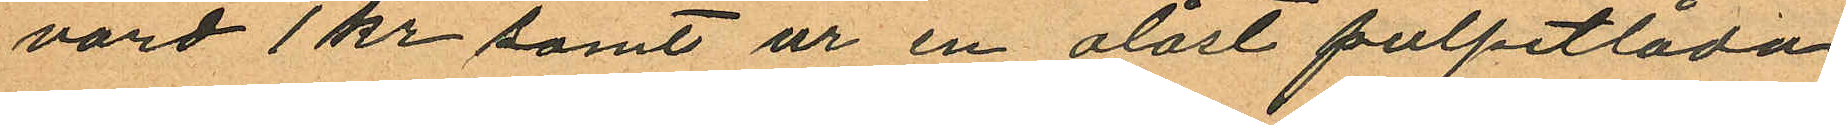värd 1 kr samt ur en olåst pulpetlåda
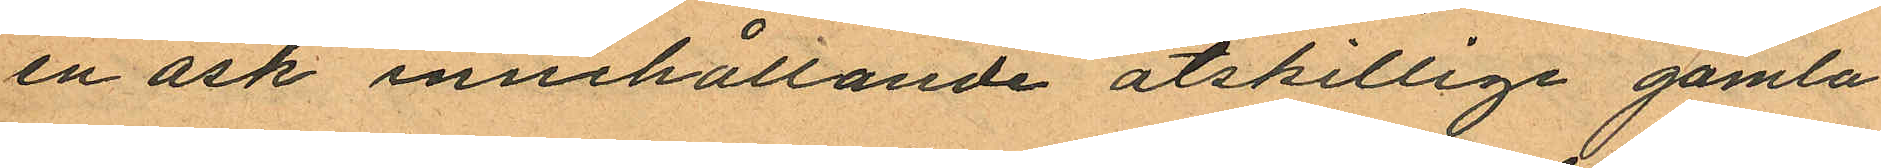en ask innehållande åtskillige gamla
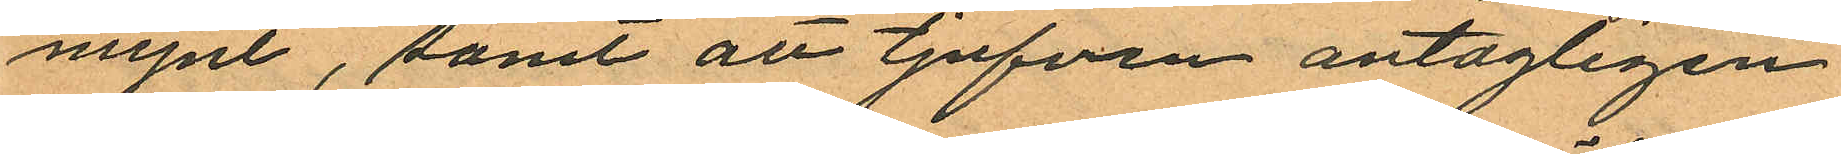mynt, samt att tjufven antagligen
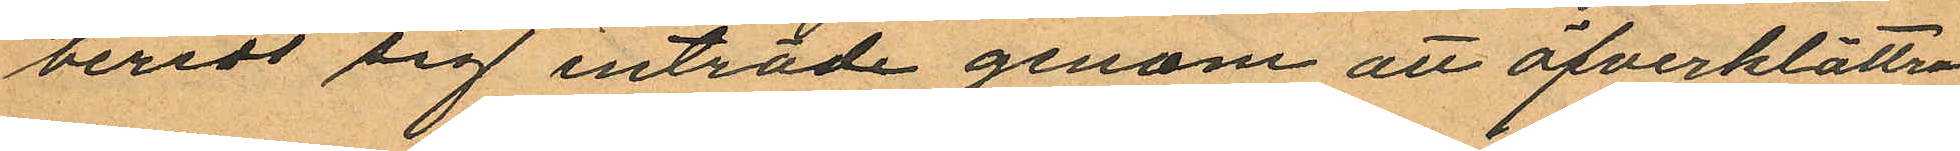beredt sig inträde genom att öfverklättra
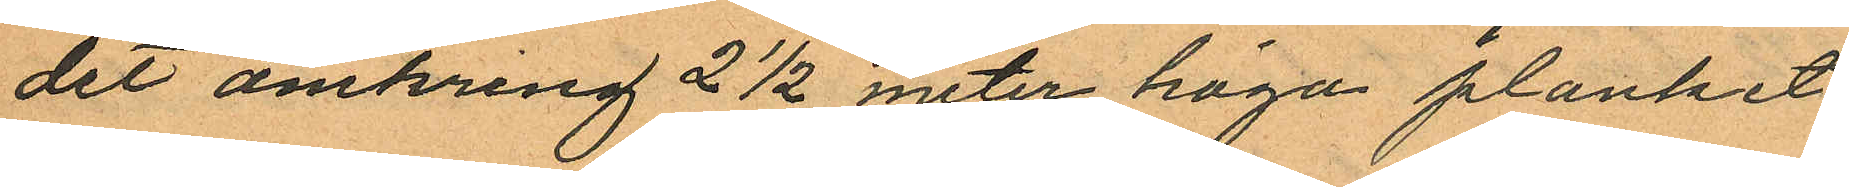det omkring 2½ meter höga planket
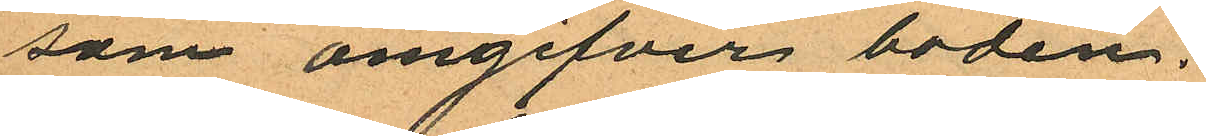som omgifver boden.
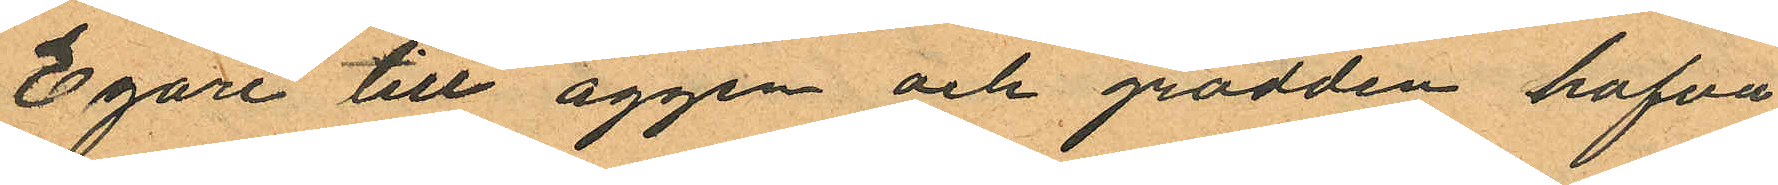Egare till äggen och grädden hafva
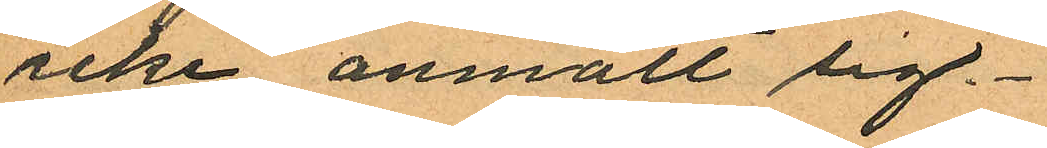icke anmält sig.
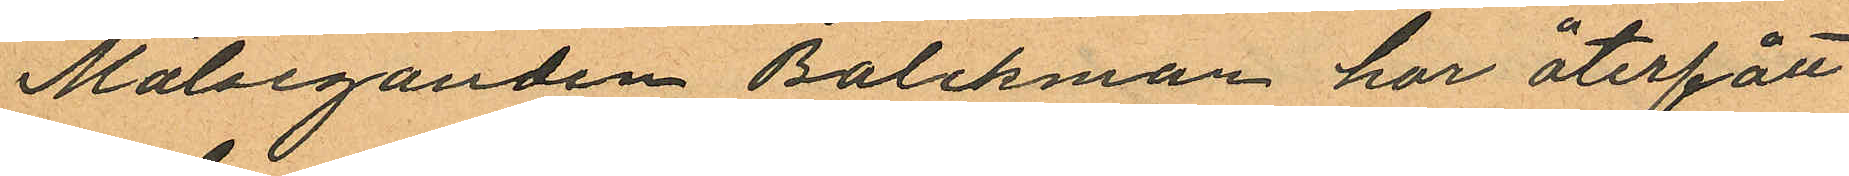Målseganden Balchman har återfått
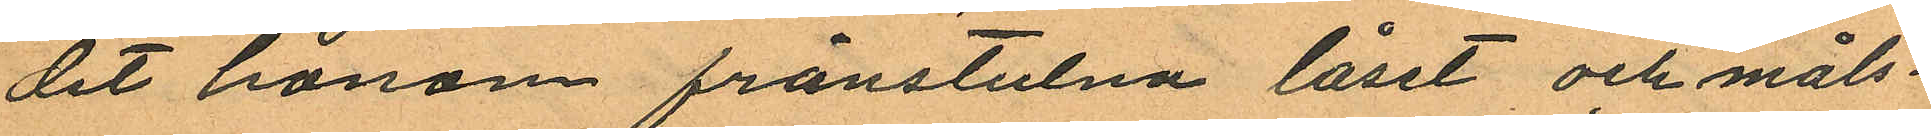det honom frånstulna låset och måls¬
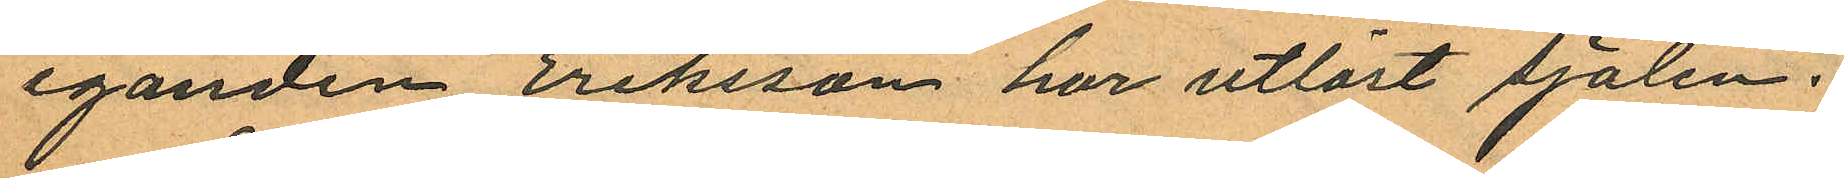eganden Eriksson har utlöst sjalen.
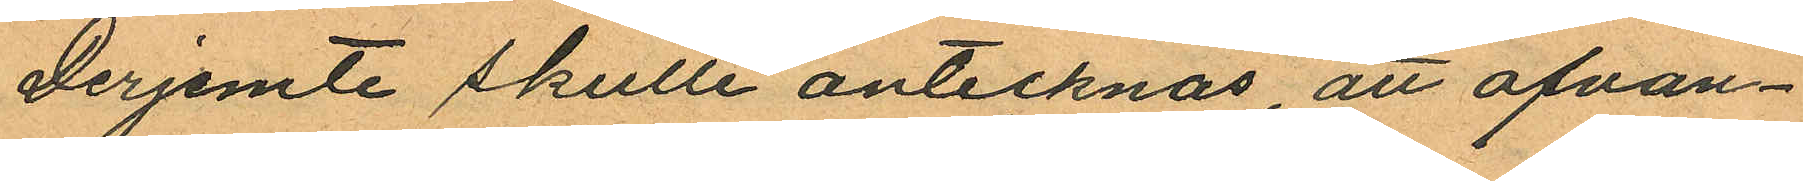Derjemte skulle antecknas, att ofvan¬
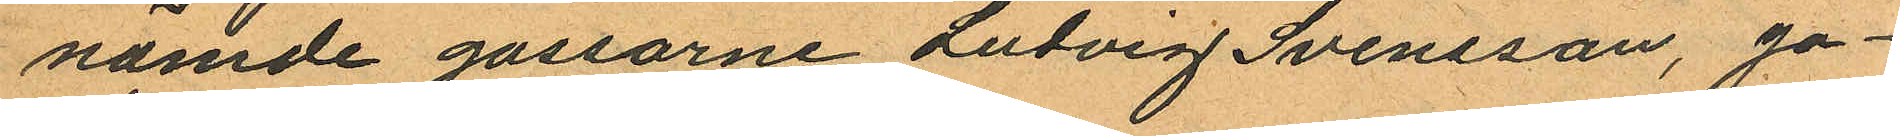nämde gossarne Ludvig Svensson, Jo¬
